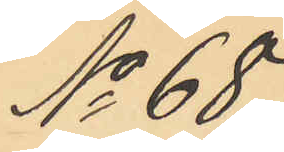No 68.
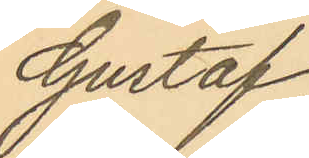Gustaf
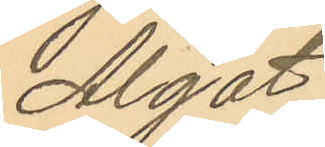Algot
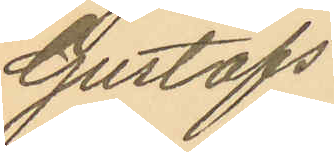Gustafs¬
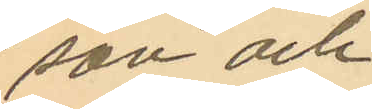son och
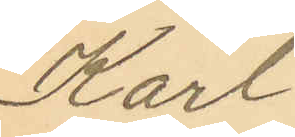Karl
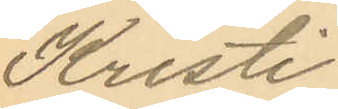Kristi¬
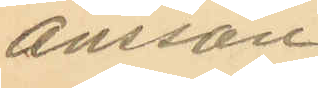ansson.
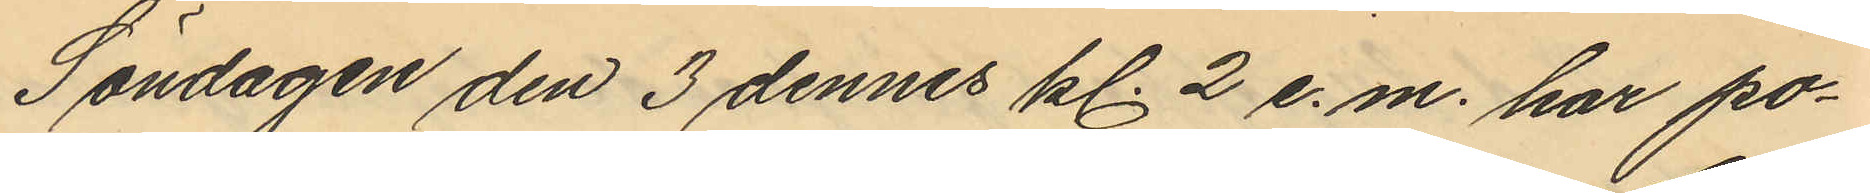Söndagen den 3 dennes kl. 2 e.m. har po¬
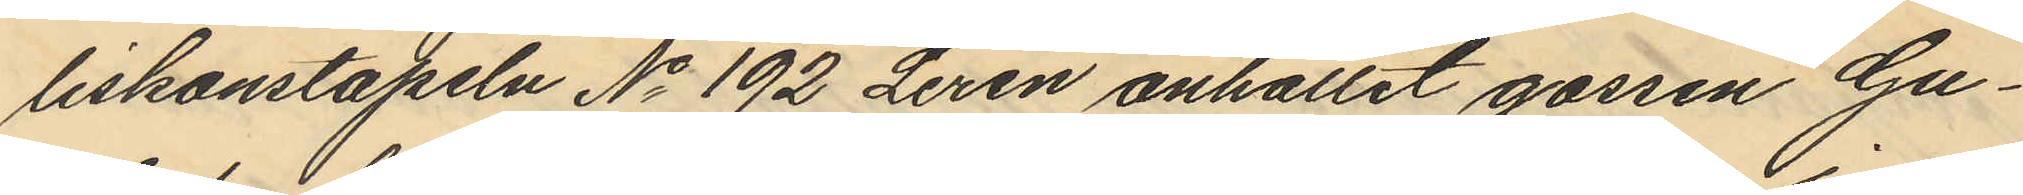liskonstapeln No 192 Lerén anhållit gossen Gu¬
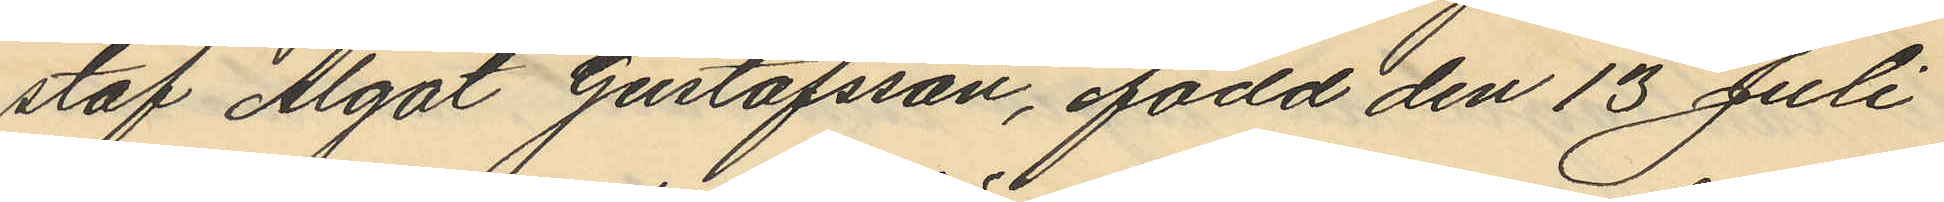staf Algot Gustafsson, född den 13 Juli
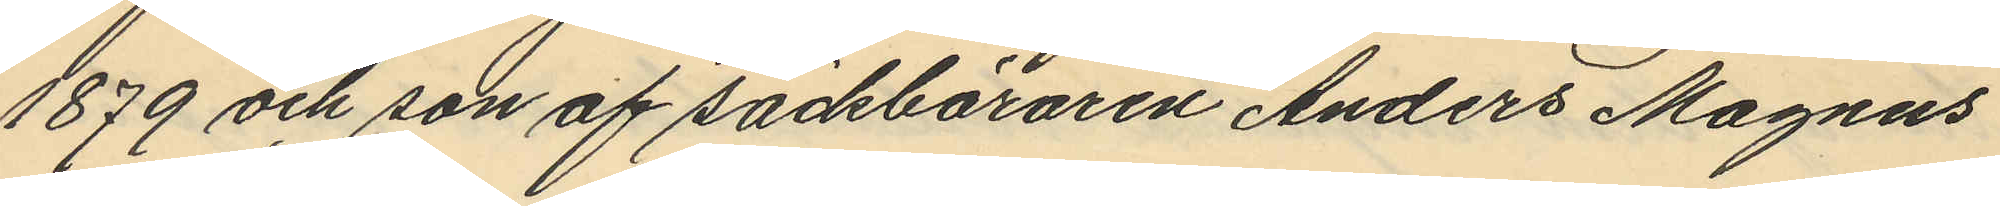1879 och son af säckbäraren Anders Magnus
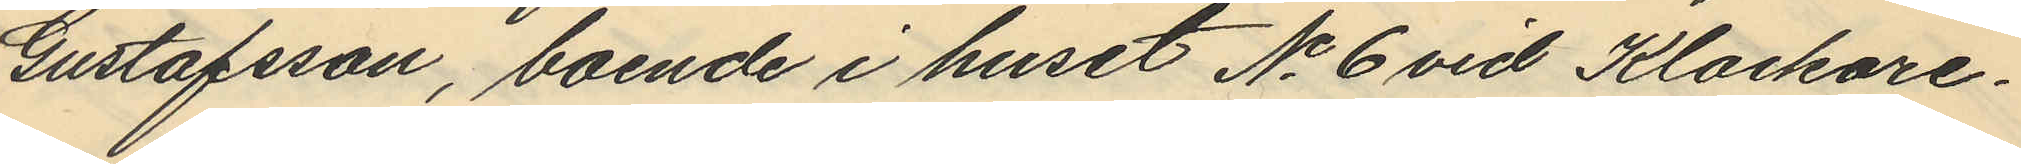Gustafsson, boende i huset No 6 vid Klockare¬
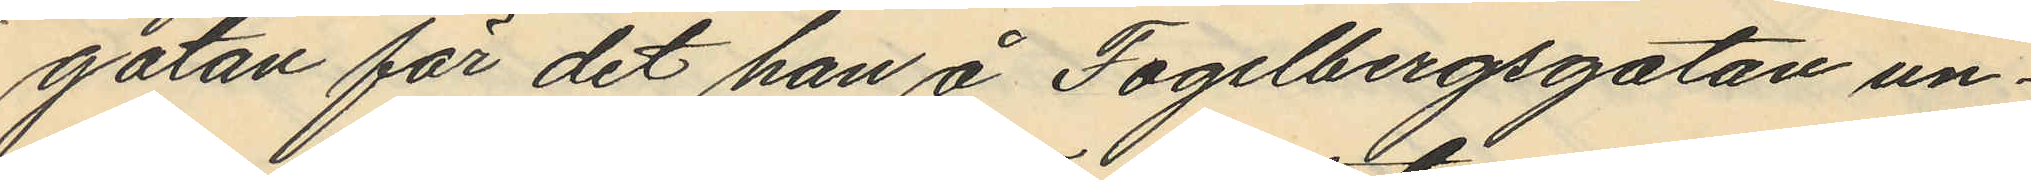gatan för det han å Fogelbergsgatan un¬
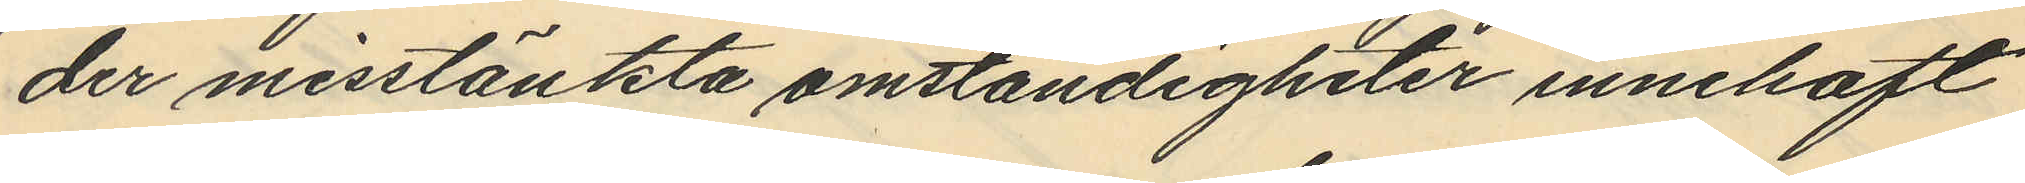der misstänkta omständigheter innehaft
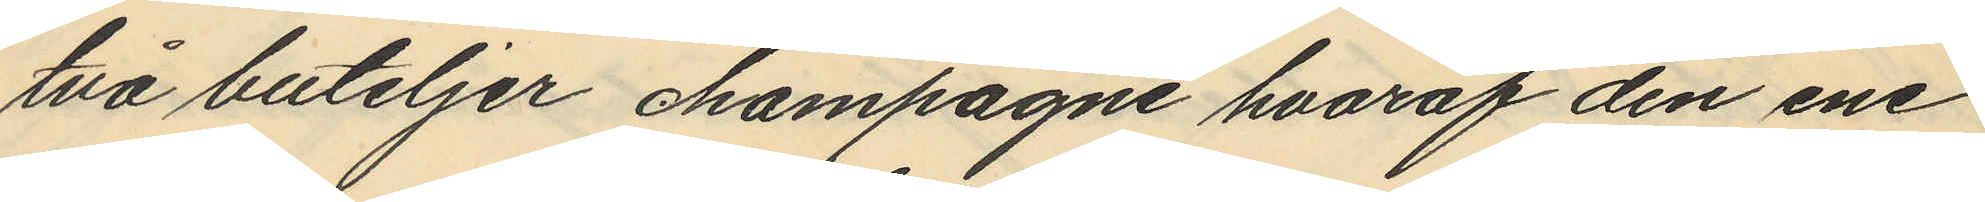två buteljer champagne hvaraf den ene
